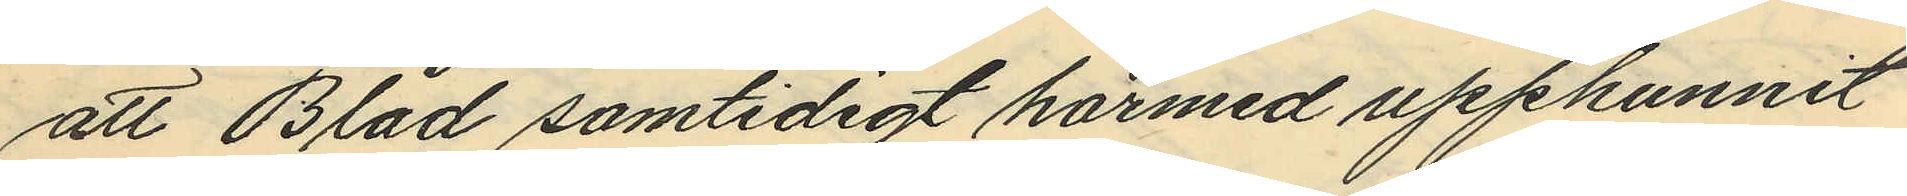att Blad samtidigt härmed upphunnit
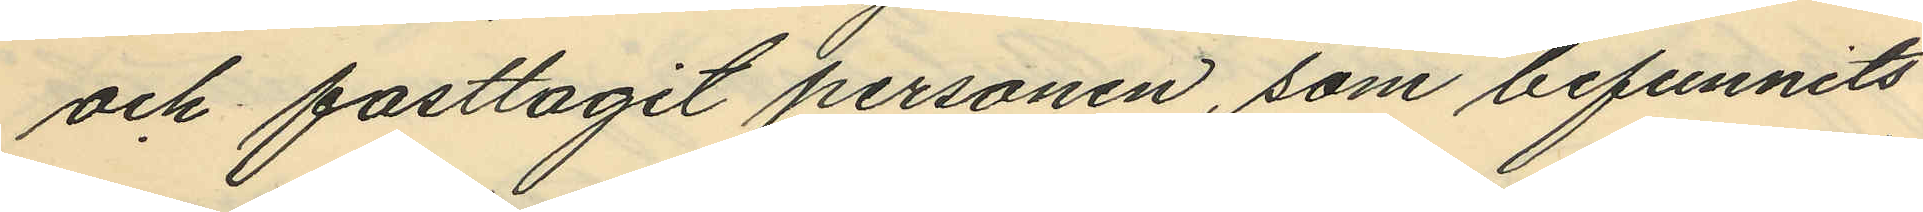och fasttagit personen, som befunnits
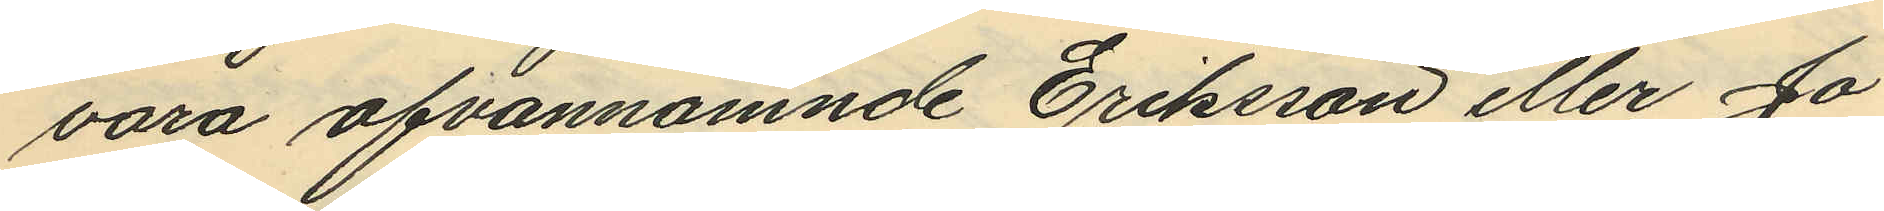vara ofvannämnde Eriksson eller Jo
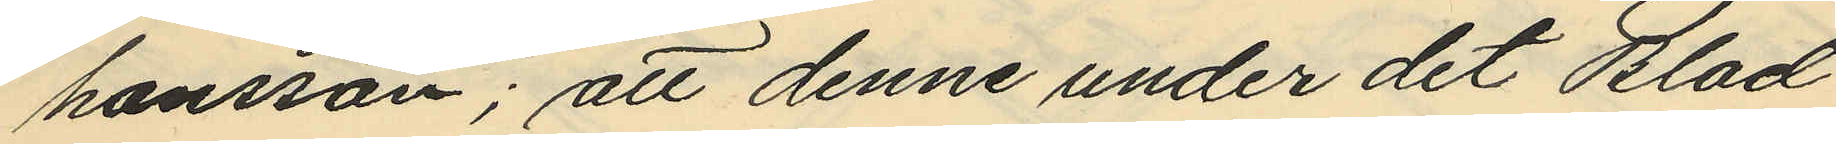hansson; att denne under det Blad
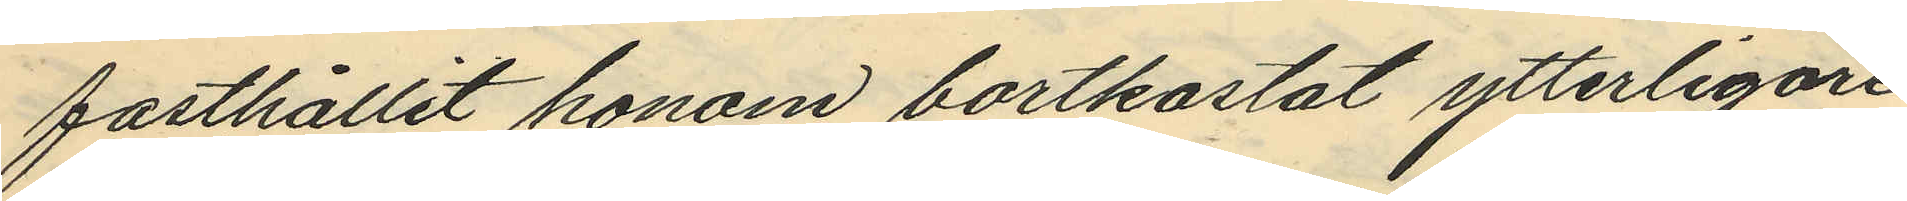fasthållit honom bortkastat ytterligare
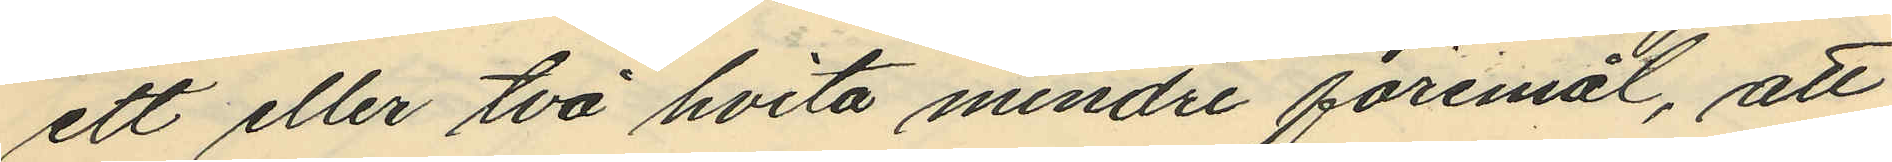ett eller två hvita mindre föremål, att
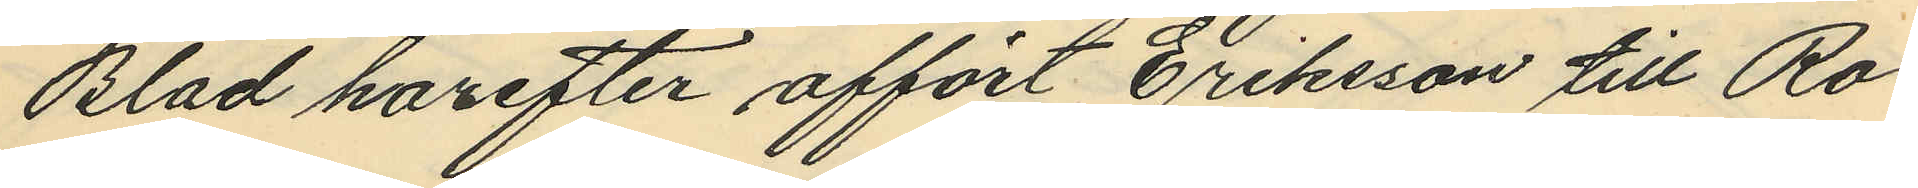Blad harefter affört Eriksson till Ro¬
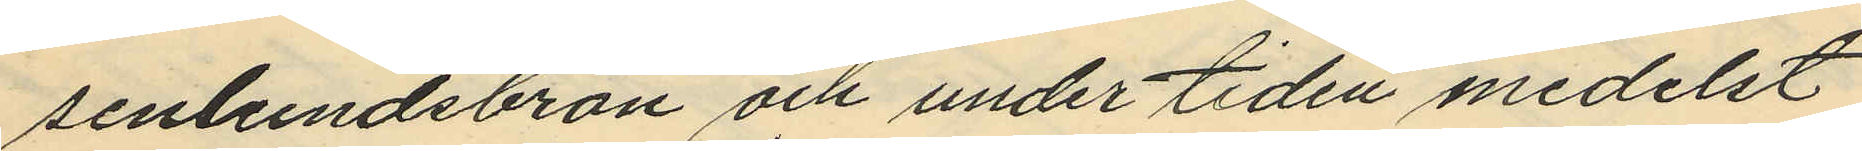senlundsbron och under tiden medelst
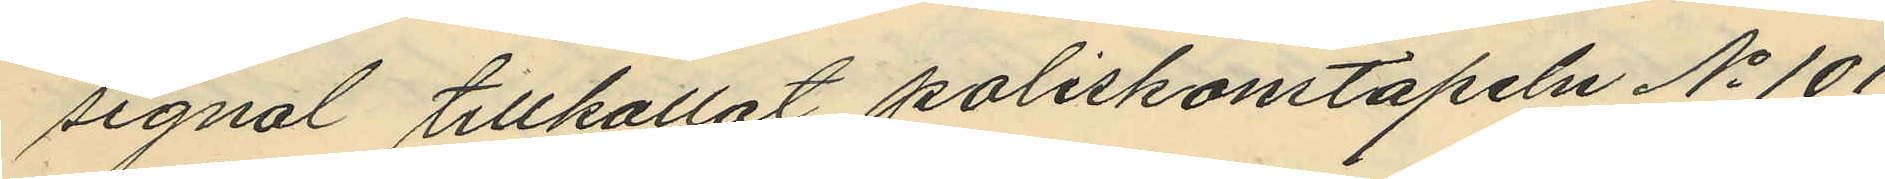signal tillkallat poliskonstapeln No 101
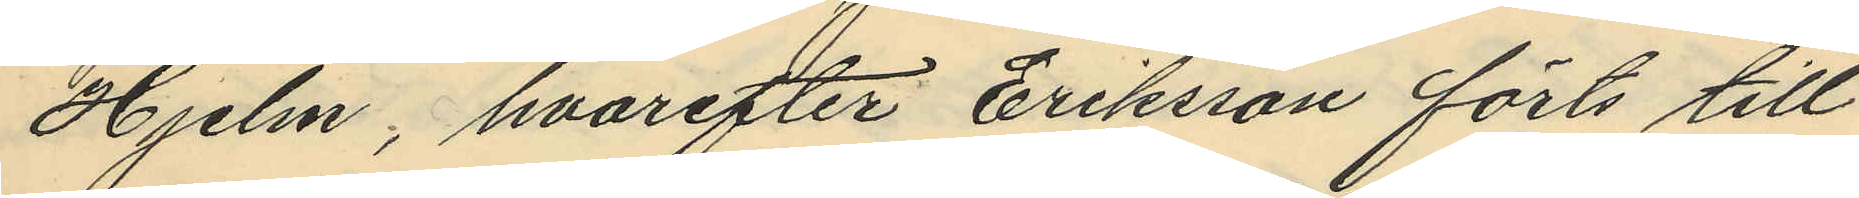Hjelm, hvarefter Eriksson förts till
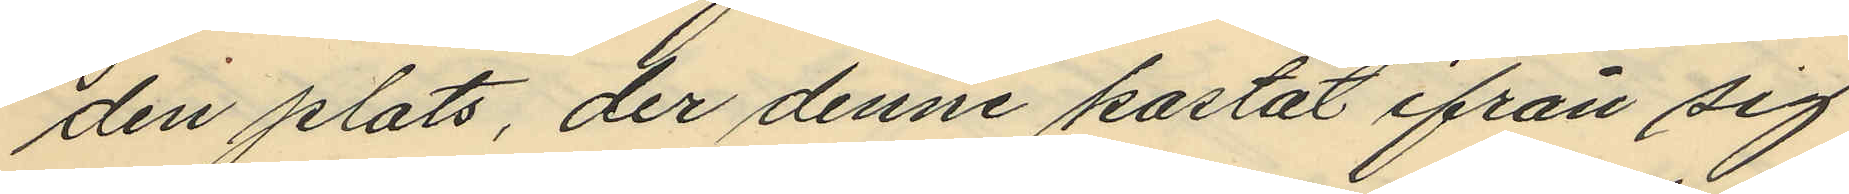den plats, der denne kastat ifrån sig
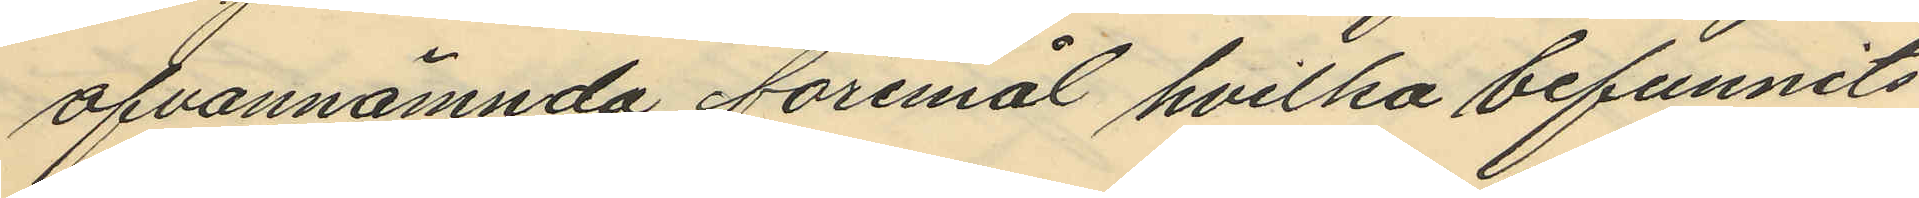ofvannämnda föremål hvilka befunnits
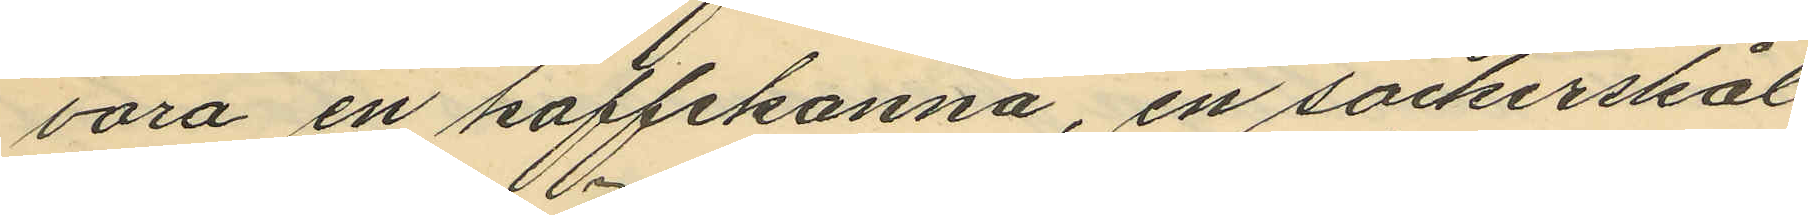vara en kaffekanna, en sockerskål
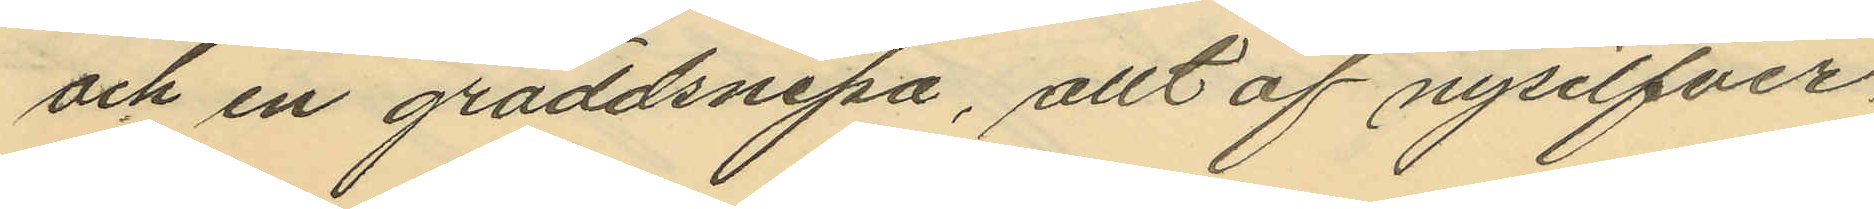och en gräddsnipa, allt af nysilfver
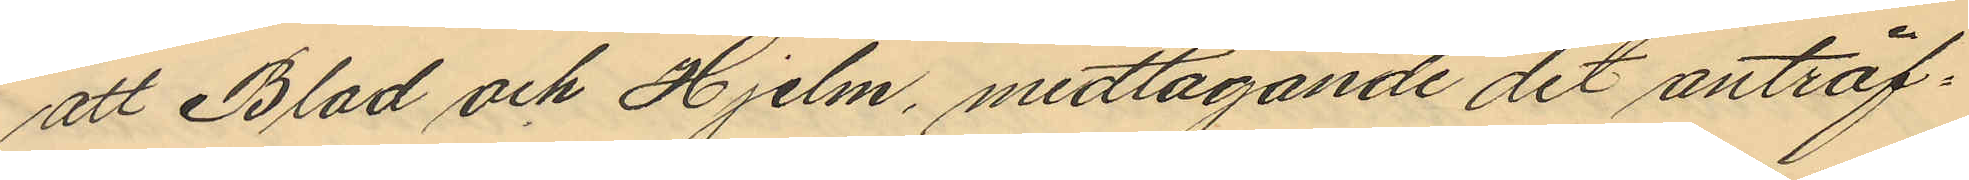att Blad och Hjelm, medtagande det anträf¬
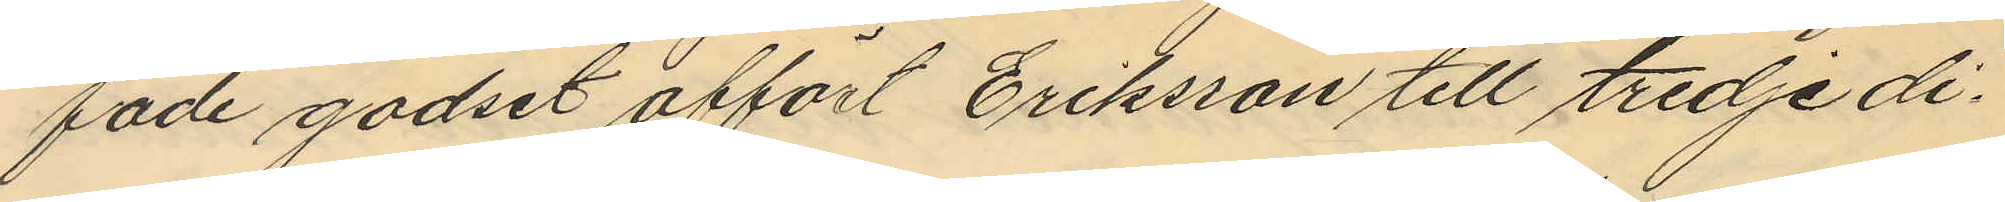fade godset affört Eriksson till tredje di¬
